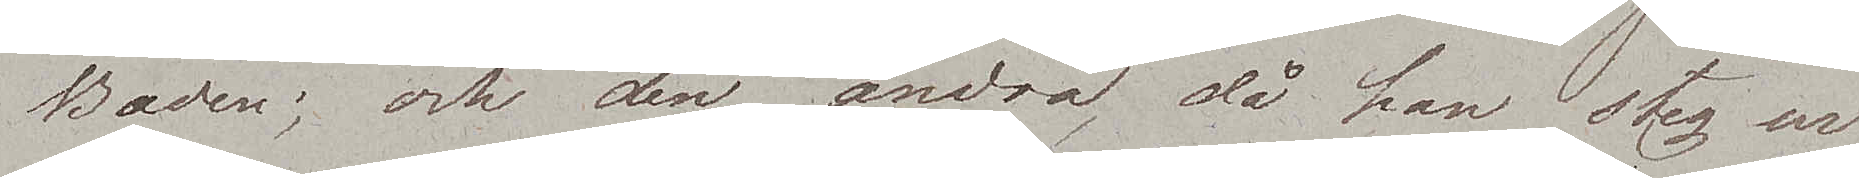Baden; och den andra, då han steg ur
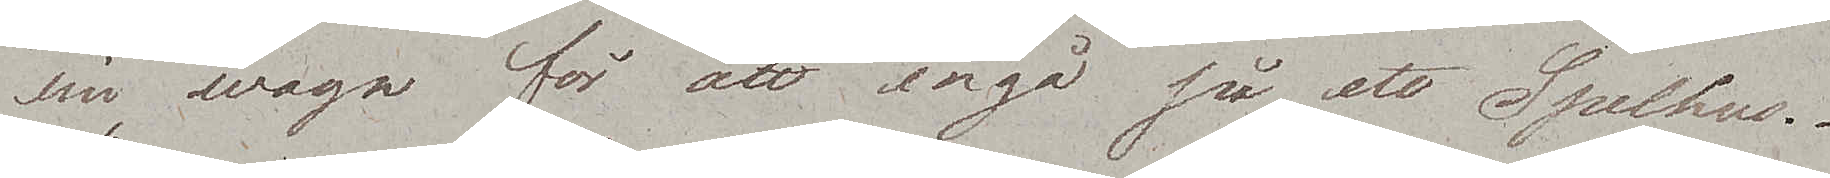sin wagn för att ingå på ett Spelhus.
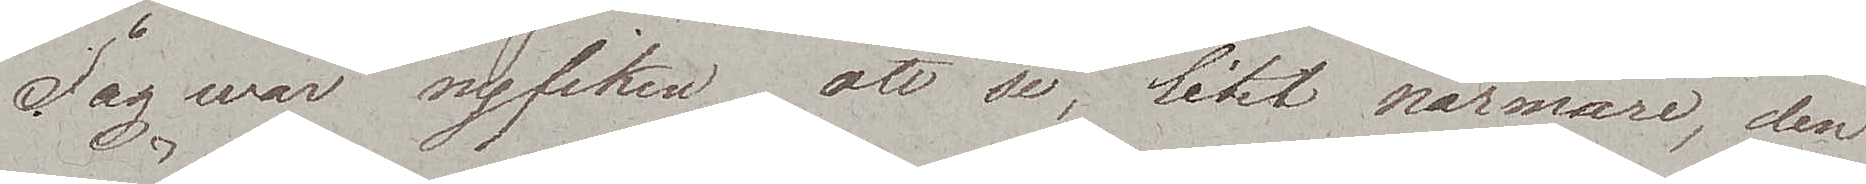Jag war nyfiken att se, litet närmare, den
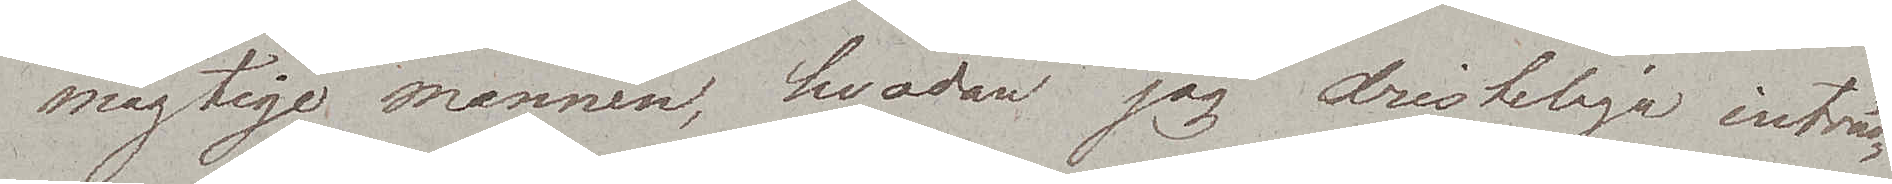mägtige mannen, hvadan jag dristeligen inträd¬
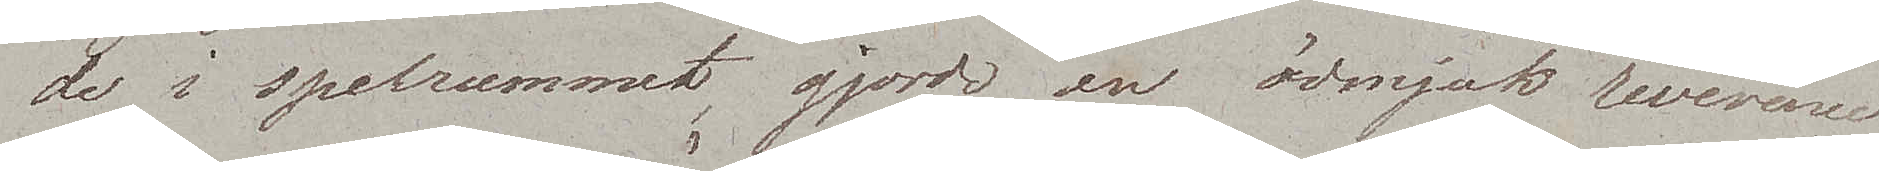de i spelrummet, gjorde en ödmjuk reverence
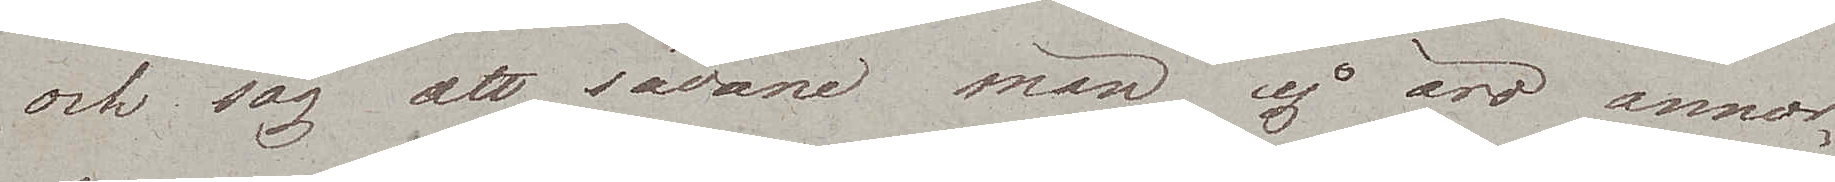och såg att sådane män ej äro annor¬
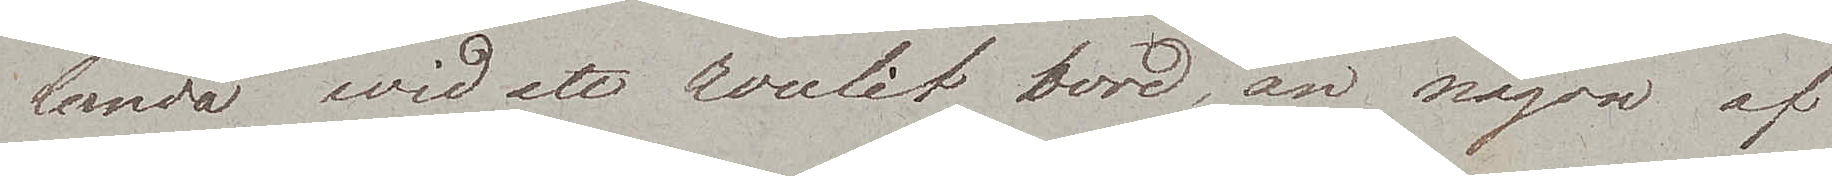lunda wid ett roulit bord, än någon af
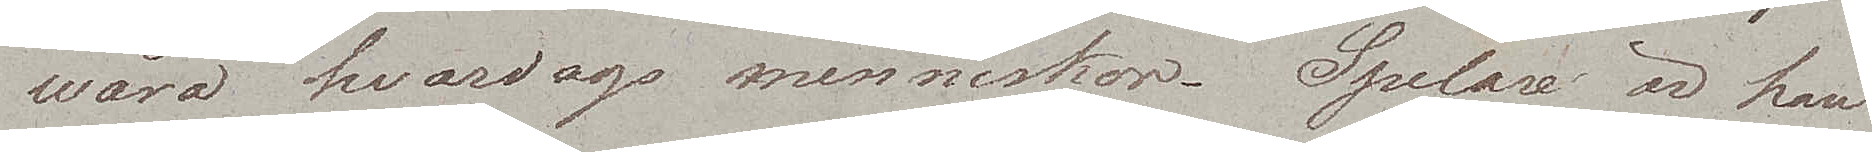wåra hvardags menniskor. Spelare är han
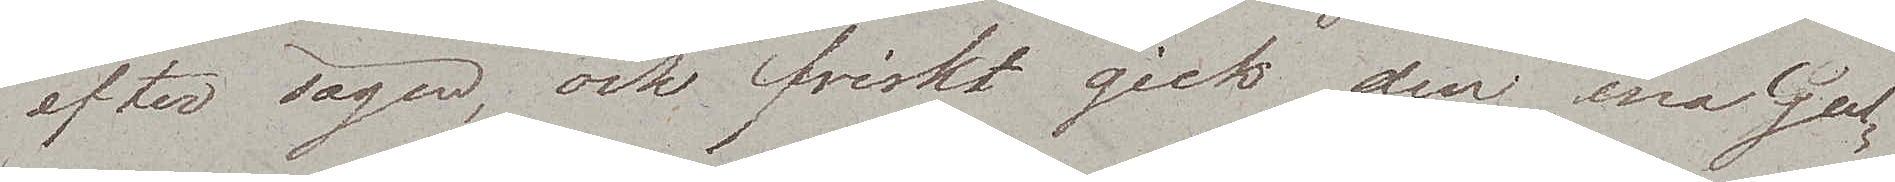efter sägen, och friskt gick den ena Gul¬
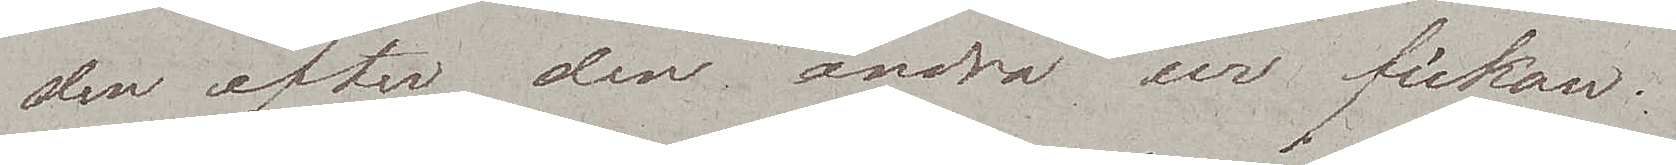den efter den andra ur fickan.
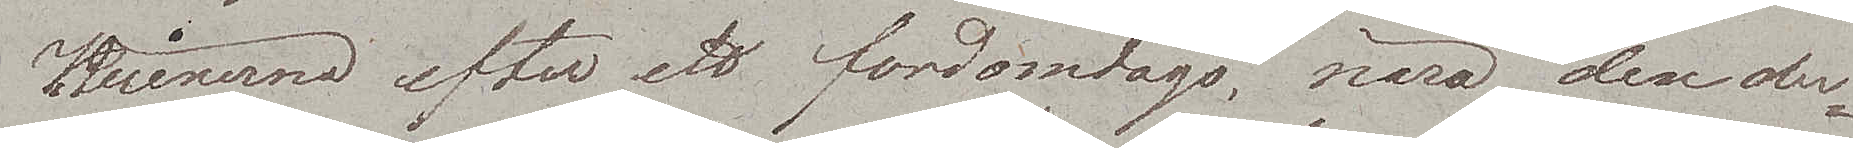Ruinerna efter ett fordomdags, nära den der¬
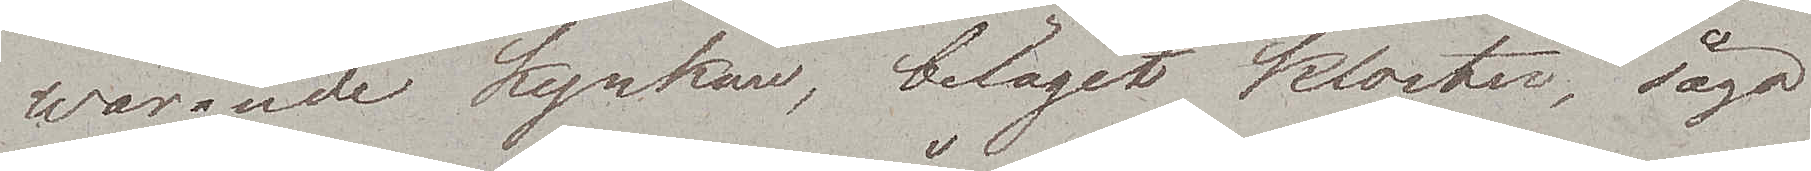warande kyrkan, beläget kloster, sågo
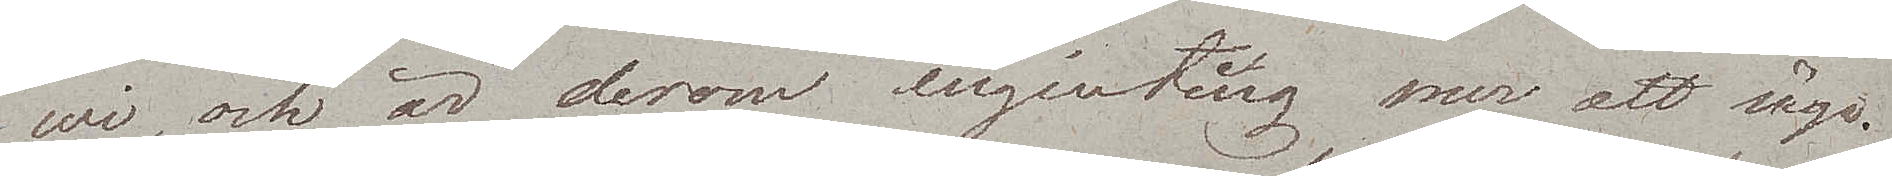wi, och är derom ingenting mer att säga.
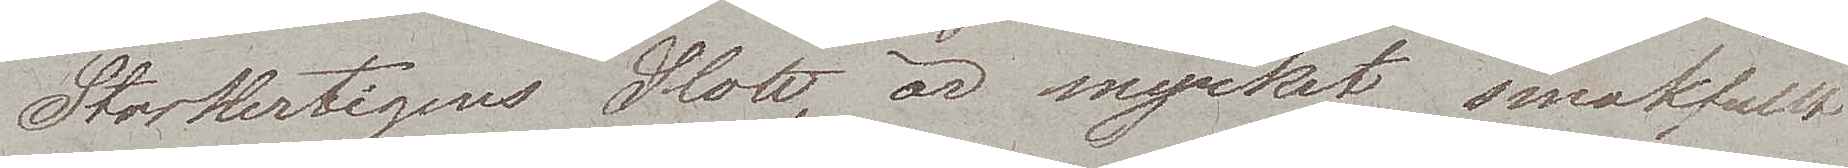Storhertigens Slott, är mycket smakfullt
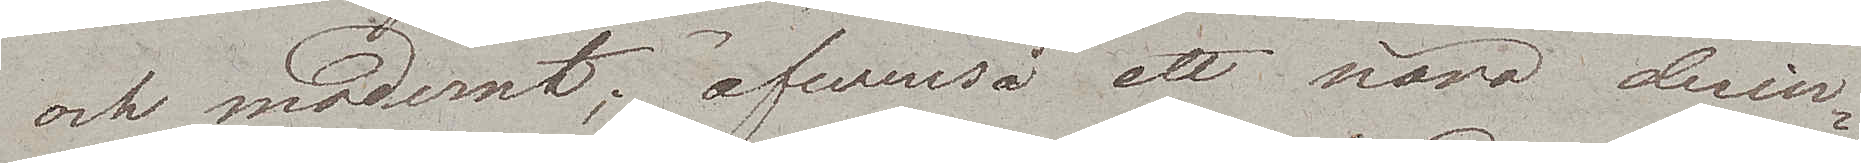och modernt; äfvenså ett nära derin¬
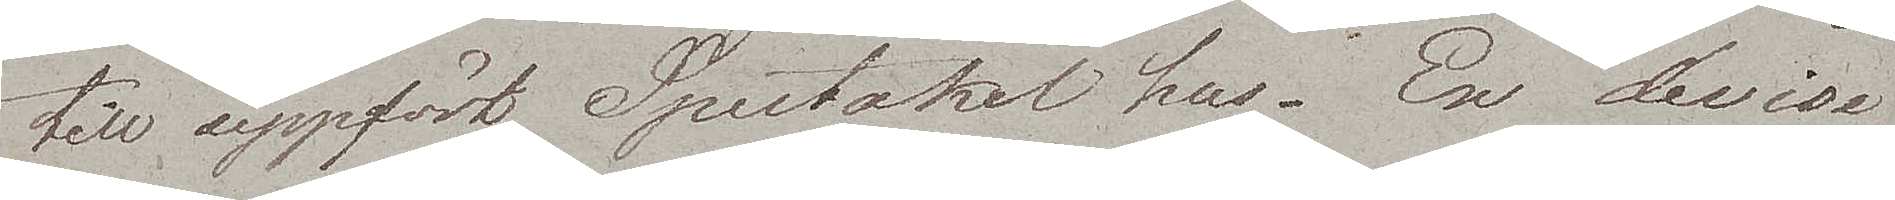till uppfört Spectakel hus. En devise
